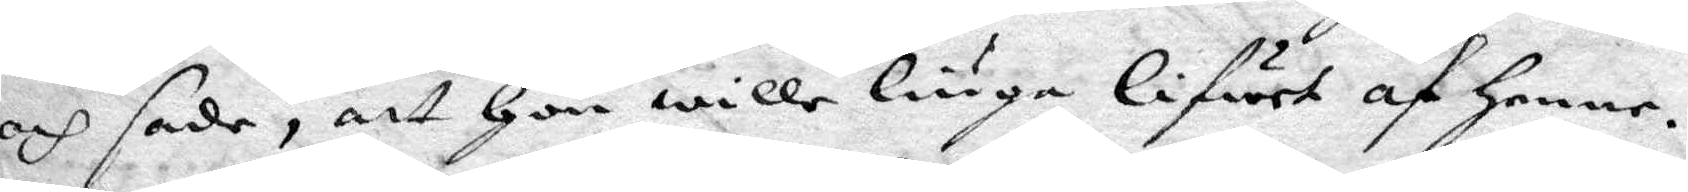och sade, att Hon wille liuga Lifwet af Henne,
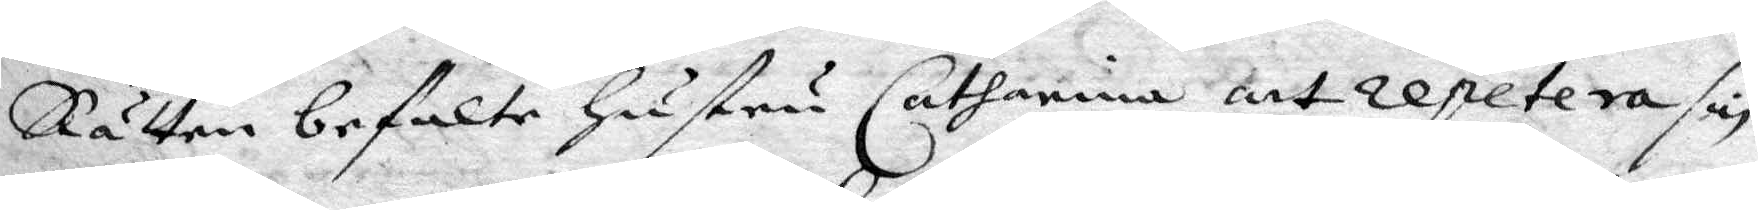Rätten befalte hustru Catharina att repetera sin
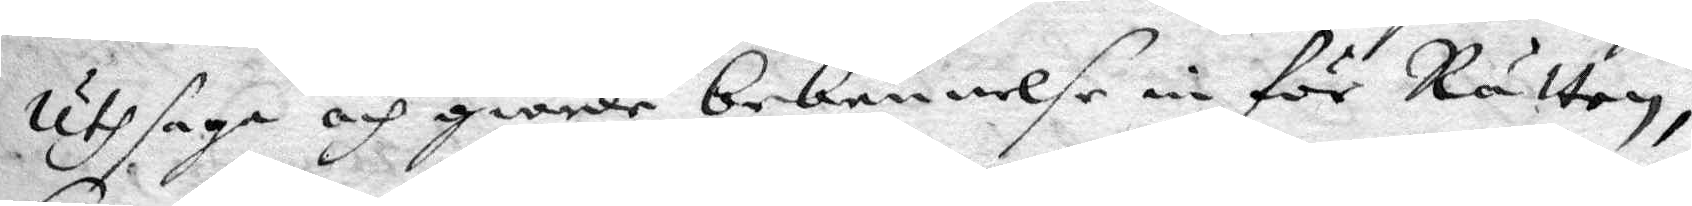Uthsaga och giorde bekennelse in för Rätten,
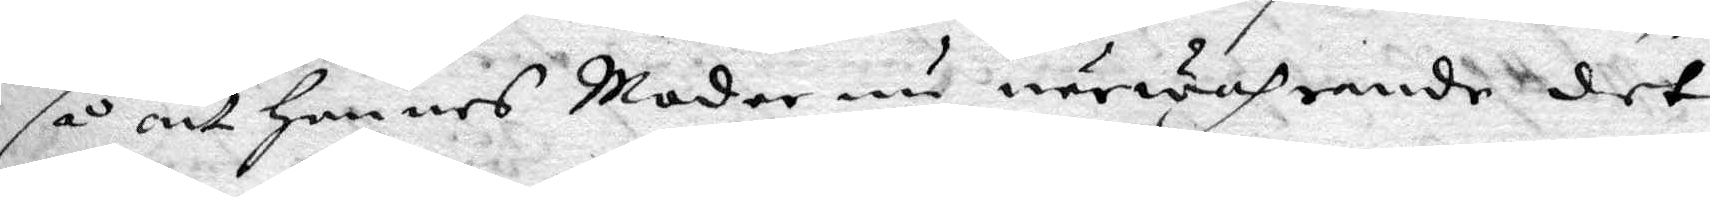så att hennes Moder nu närwarande det
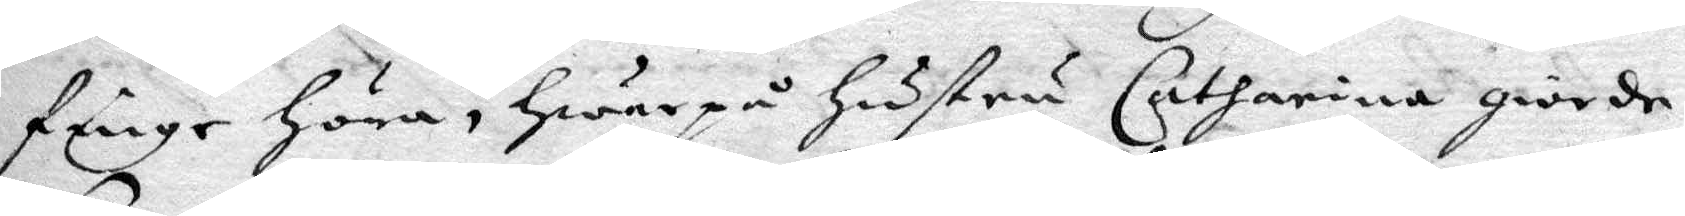fänge Höra, Hwarpå Hustru Catharina giorde
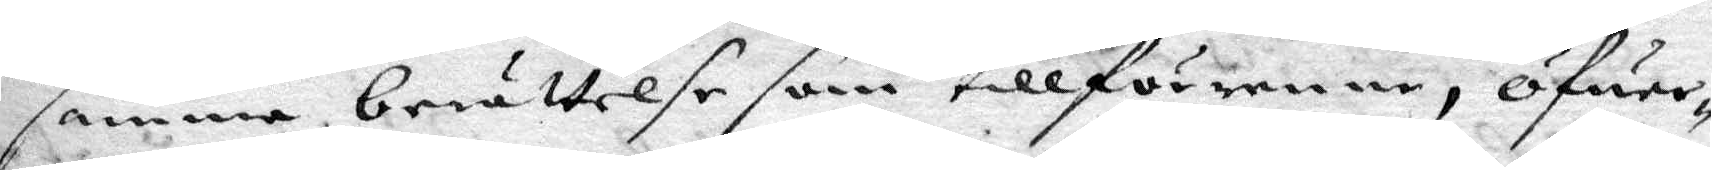samma berättelse som tillförene, öfwer¬
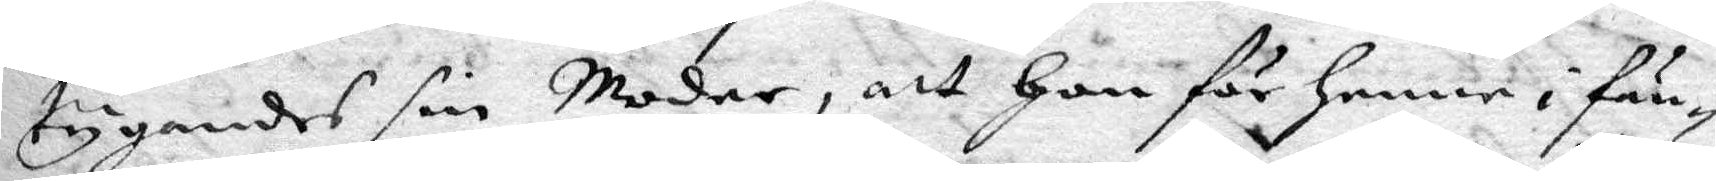tygandes sin Moder, att Hon för henne i fän¬
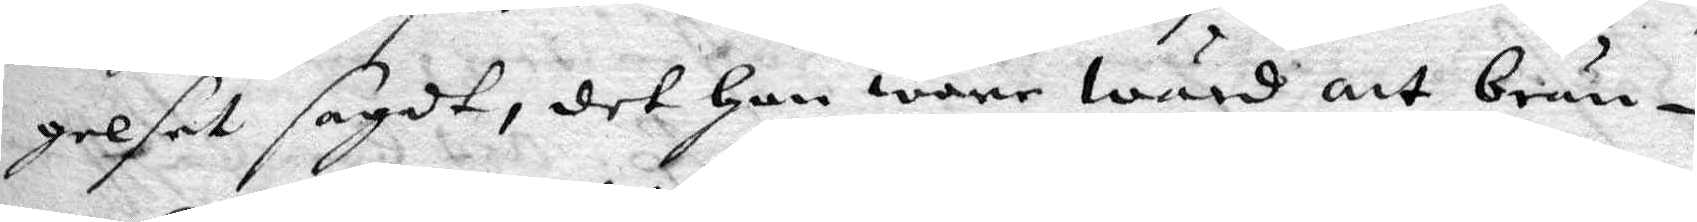gelset sagdt, det han ware wär att brän¬
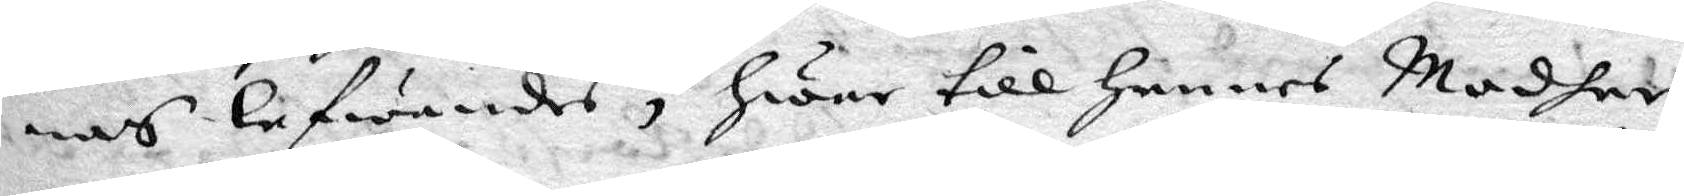nas lefwandes, Hwar till Hennes Modher
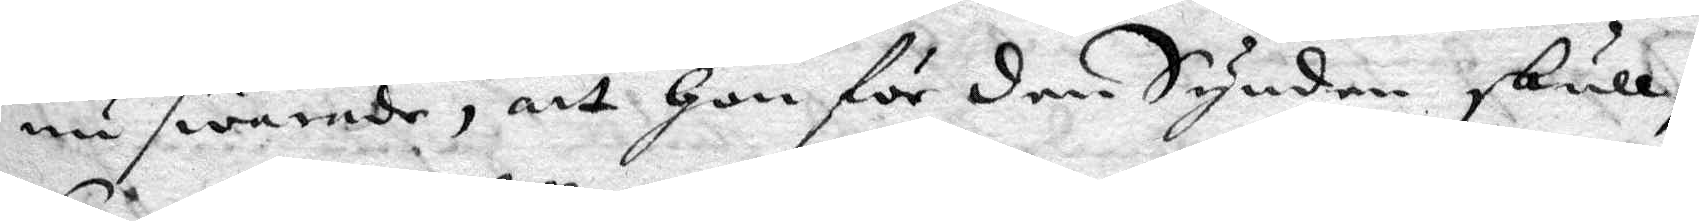nu swarade, att hon för den Synden skull,
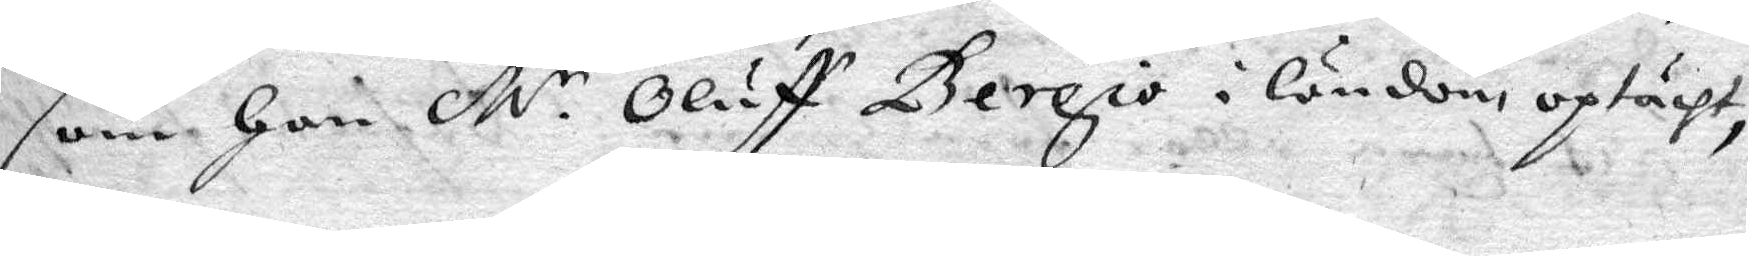som Han M.r Oluff Bergio i Ländom optächt,
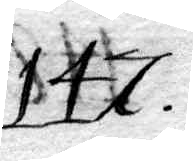147.
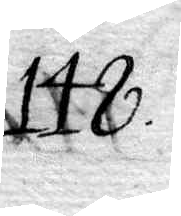148.
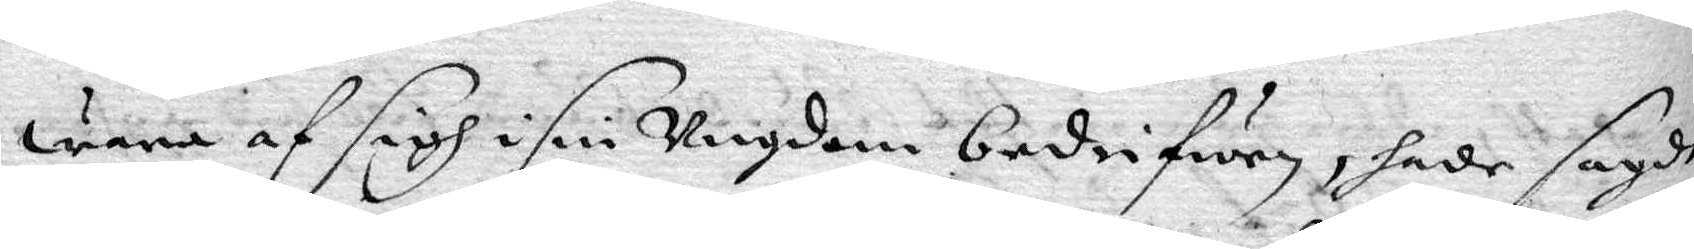wara af sigh i sin ungdom bedrifwen, hade sagdt
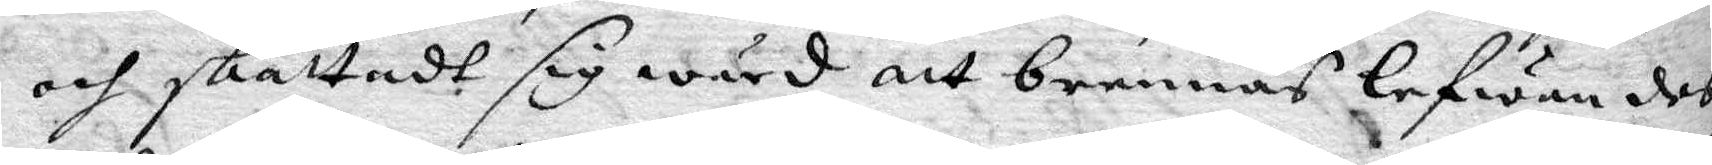och skattadt sig wärd att brennas lefwandes,
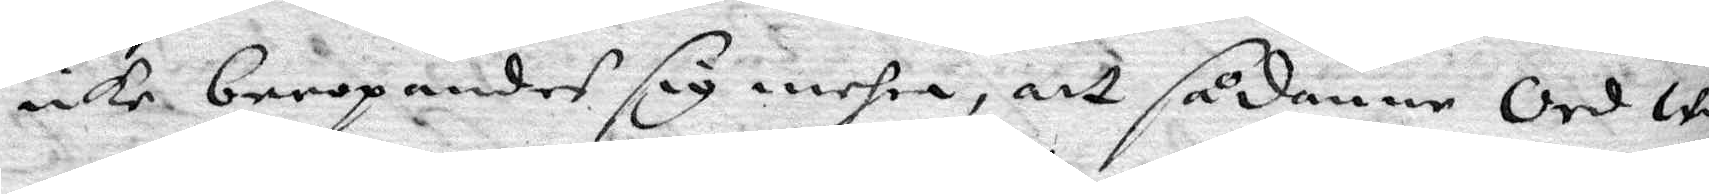icke beropandes sig mehra, att sådanne Ord wo¬
